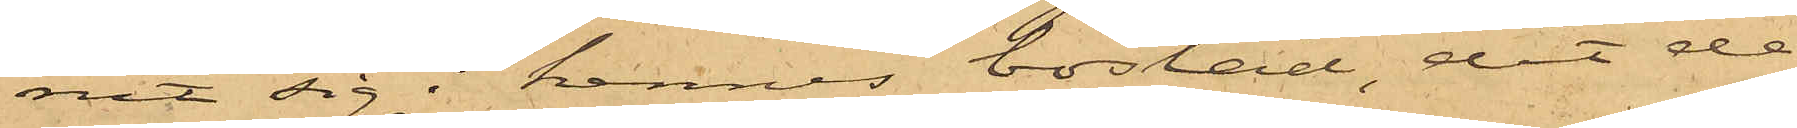nit sig i hennes bostad, dit de
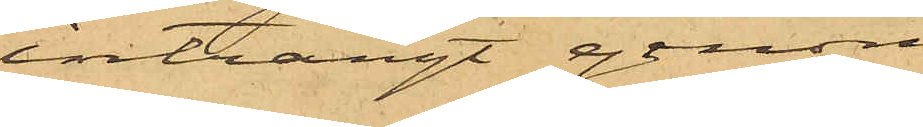inträngt genom
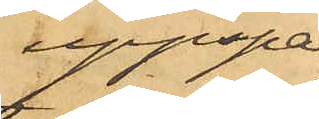uppspar¬
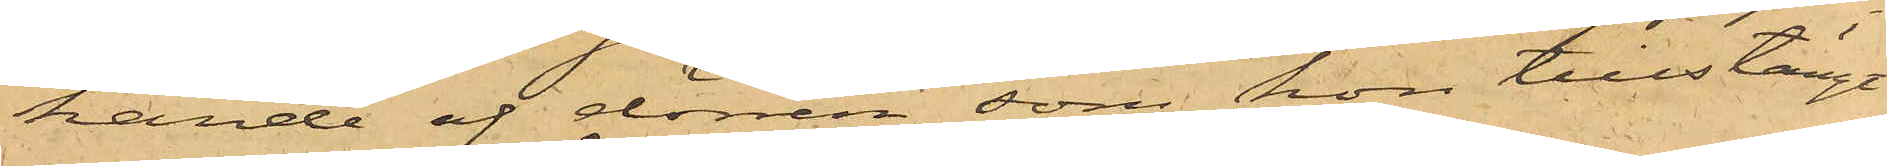kande af dörren, som hon tillstängt
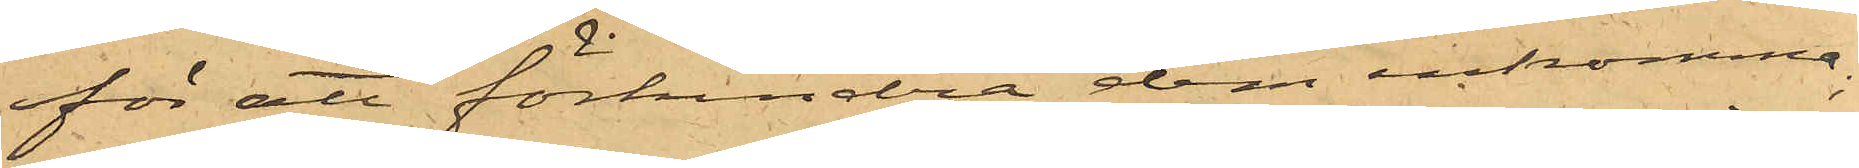för att förhindra dem inkomma;
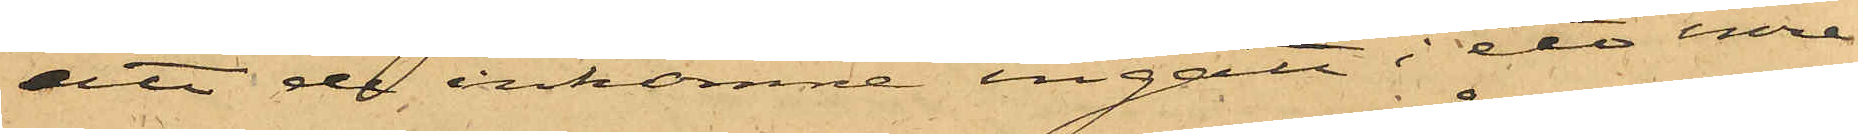att de inkomne ingått i ett inre
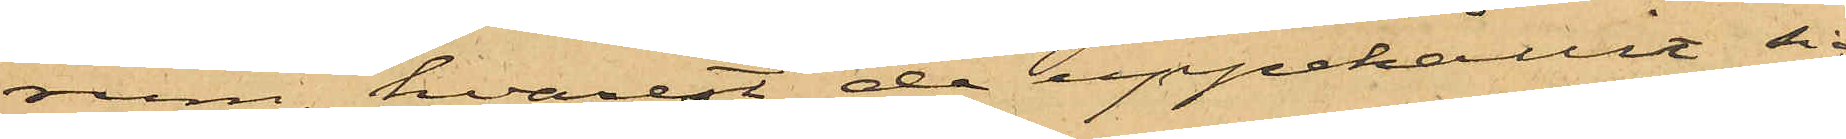rum, hvarest de uppehållit sig
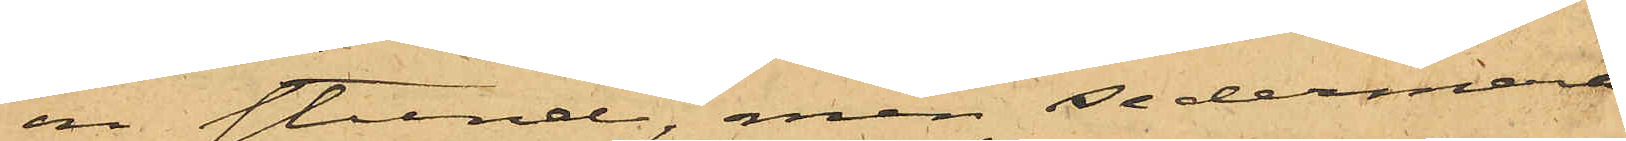en stund, men sedermera
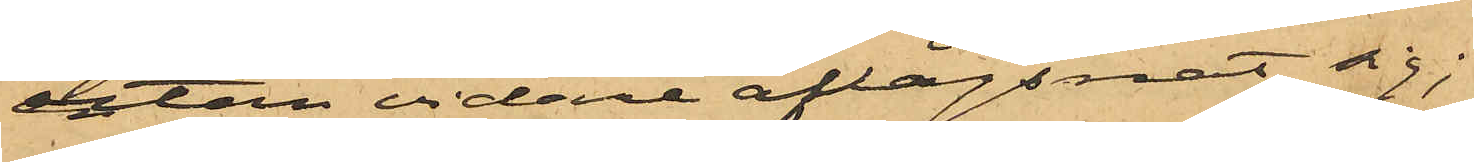utan vidare aflägsnat sig;
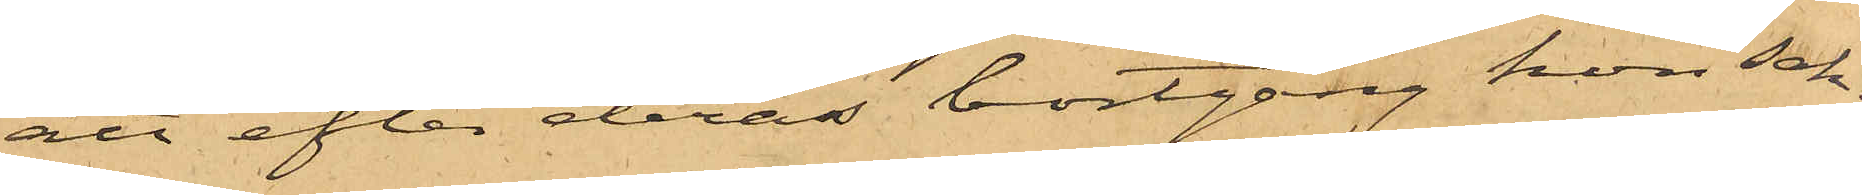att efter deras bortgång hon sak¬
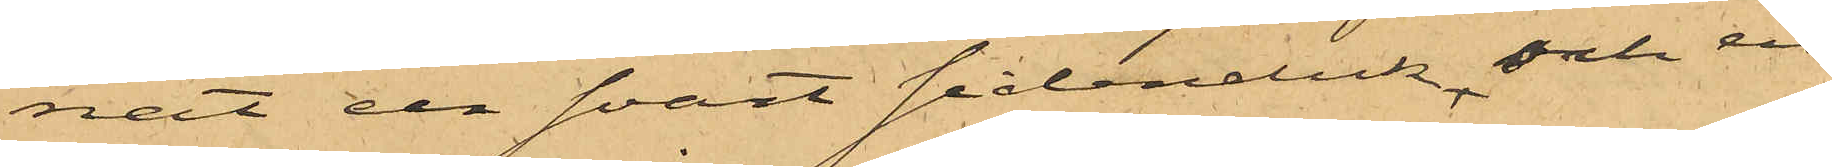nat en svart sidenduk och en
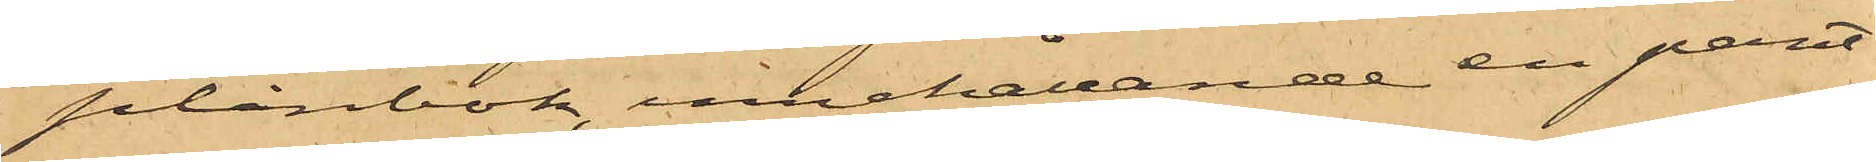plånbok, innehållande en pant¬
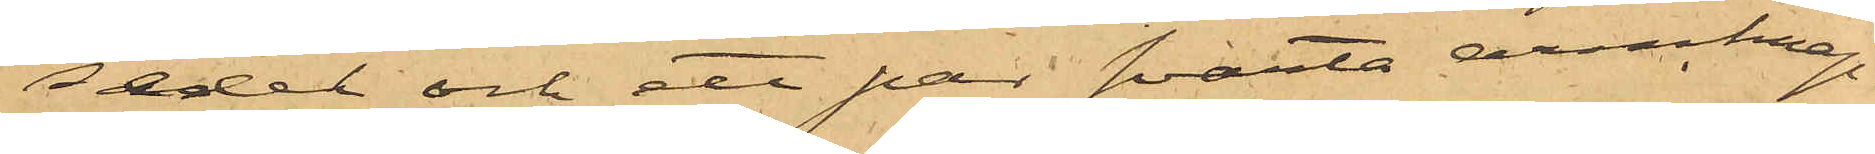sedel och de par svarta armknap¬
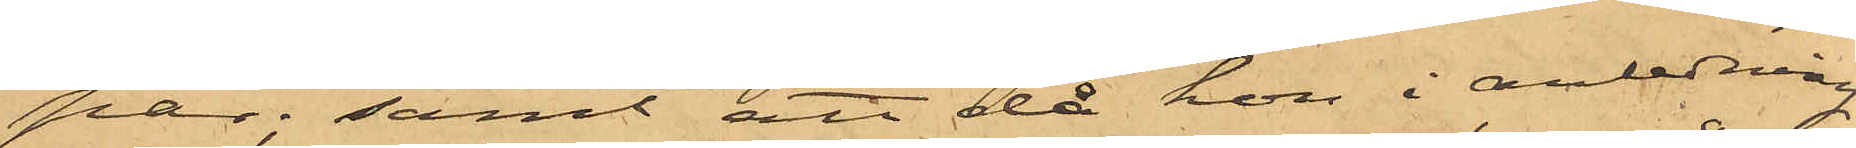par; samt att då hon i anledning
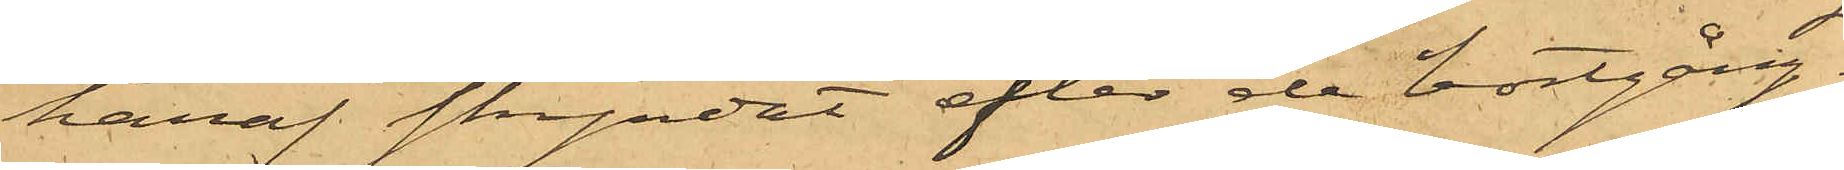häraf skyndat efter de bortgång¬
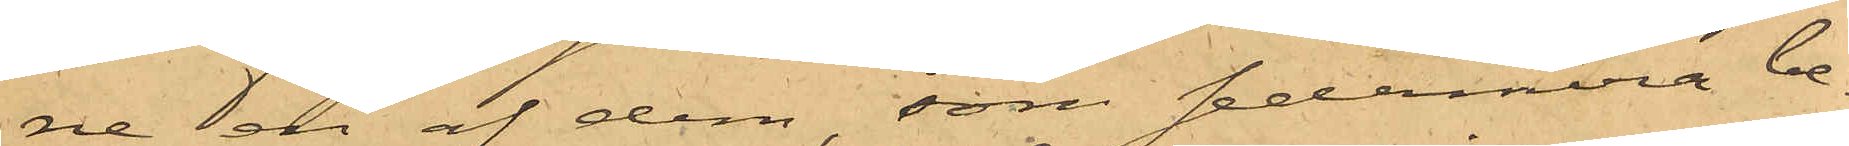ne en af dem, som sedermera be¬
